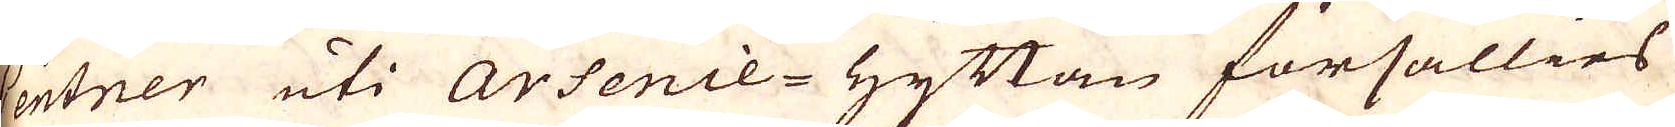Centner uti Arsenie-Hyttan försällies
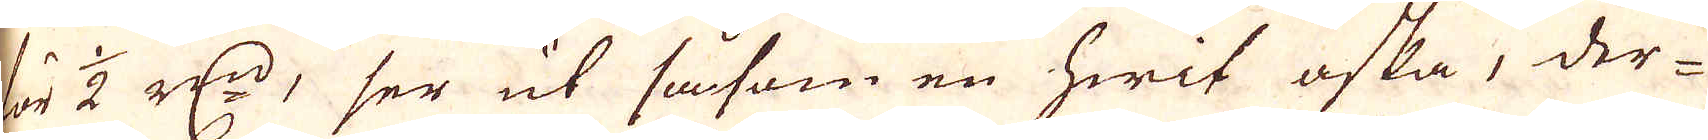ör 1/2 r:dr, ser ut såsom en hwit aska, der-
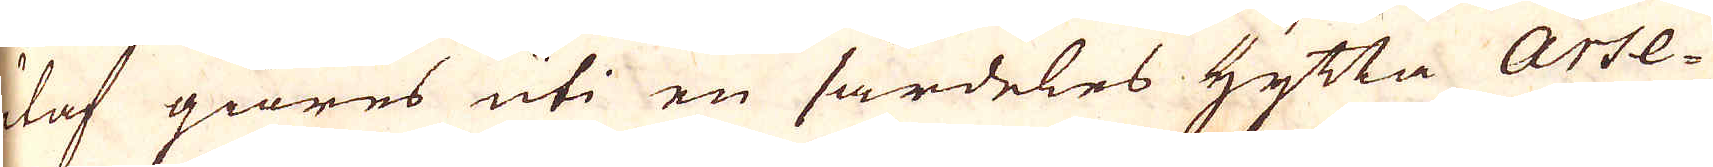utaf giöres uti en särdeles Hytta Arse-
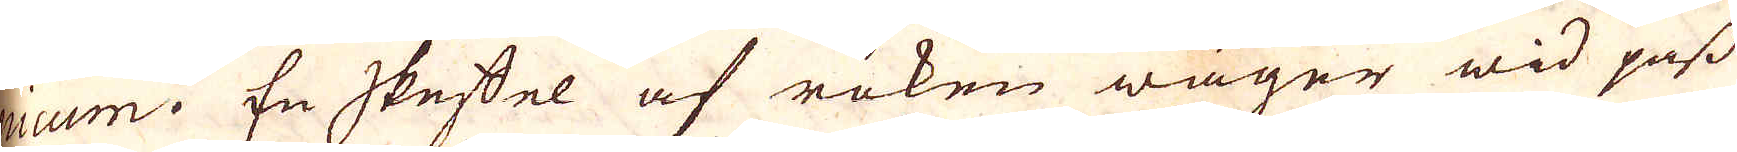nicum. En skeffel af röken wäger wid pass
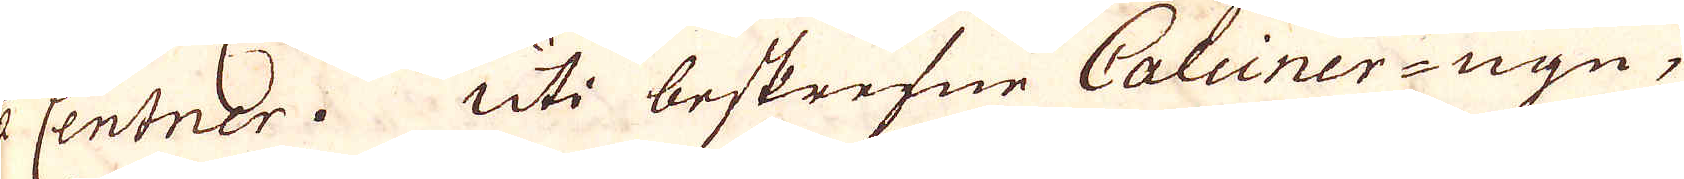2 1/2 Centner. Uti beskrefne Calcinerugn,
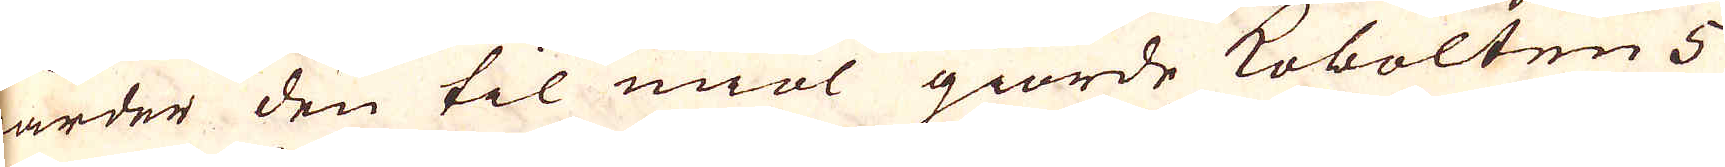warder den til miöl giorde Kobolten 5
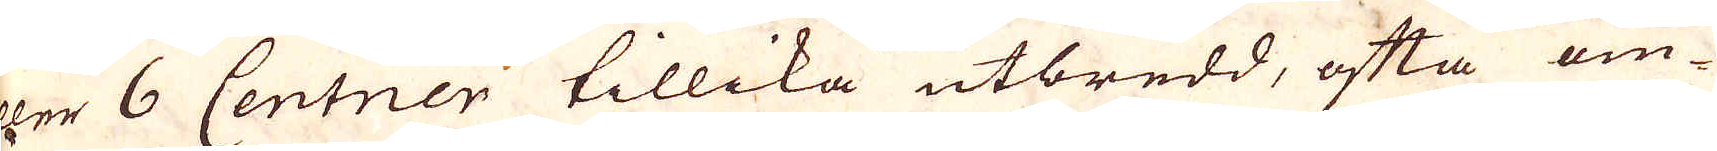eller 6 Centner tillika utbredd, ofta om-
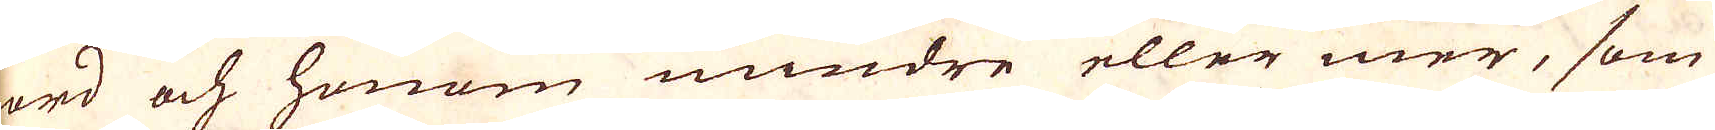rörd och honom mindre eller mer, som
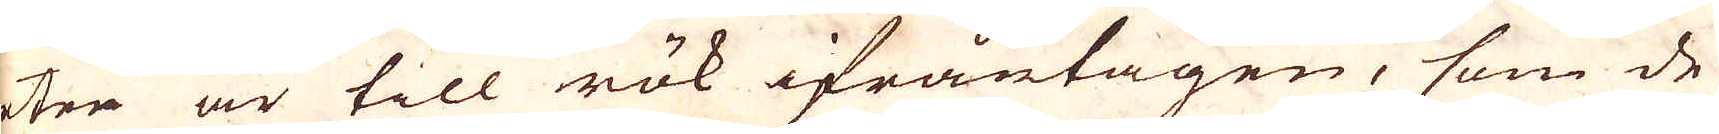orten är till rök ifråntagen, som de
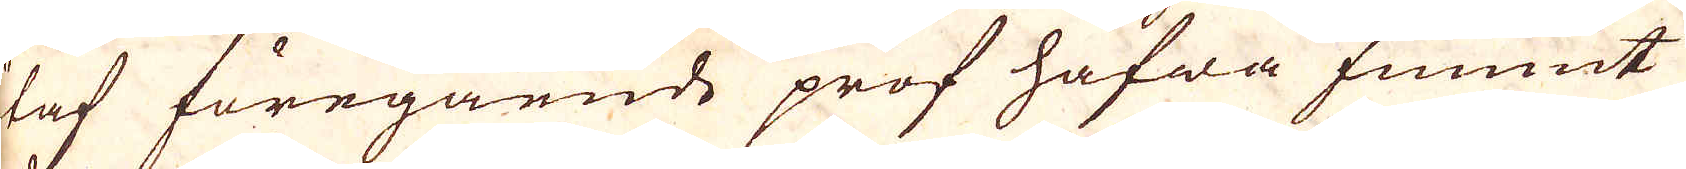utaf föregående prof hafwa funnit
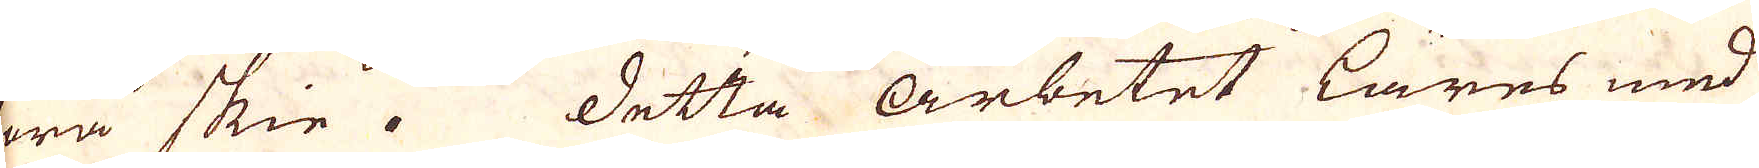böra skie. Detta arbetet Läres med
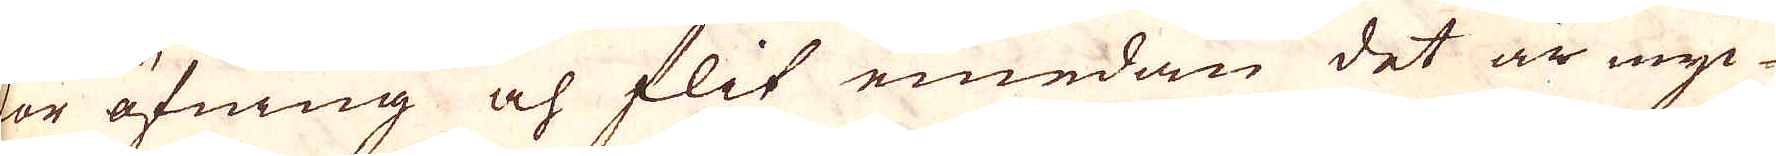stor öfning och flit emedan det är myc-
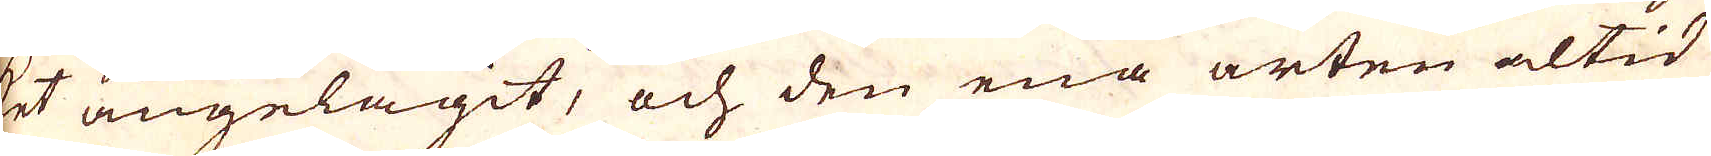ket angelägit, och den ena arten altid
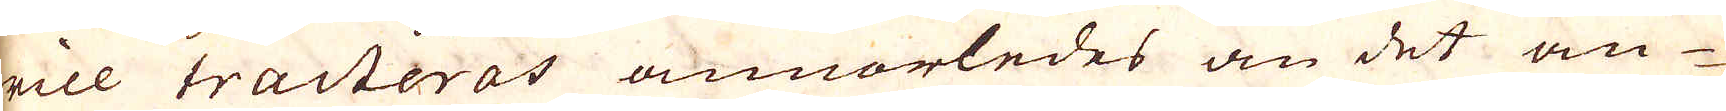will tracteras annorledes än det an-
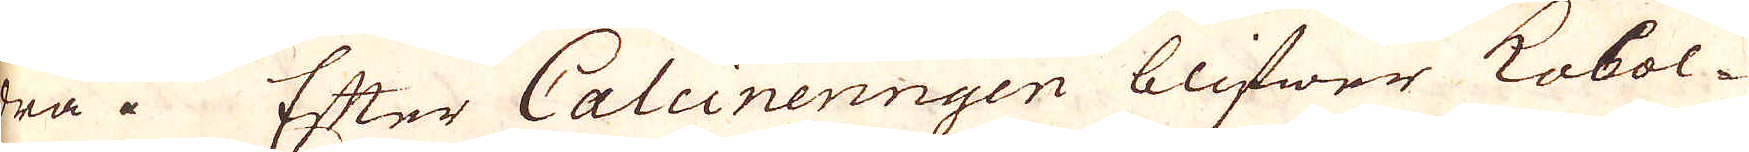dra. Efter Calcineringen blifwer Kobol-
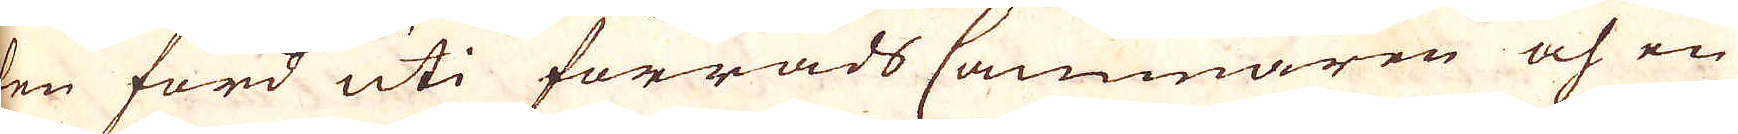ten förd uti förråds Cammaren och en
